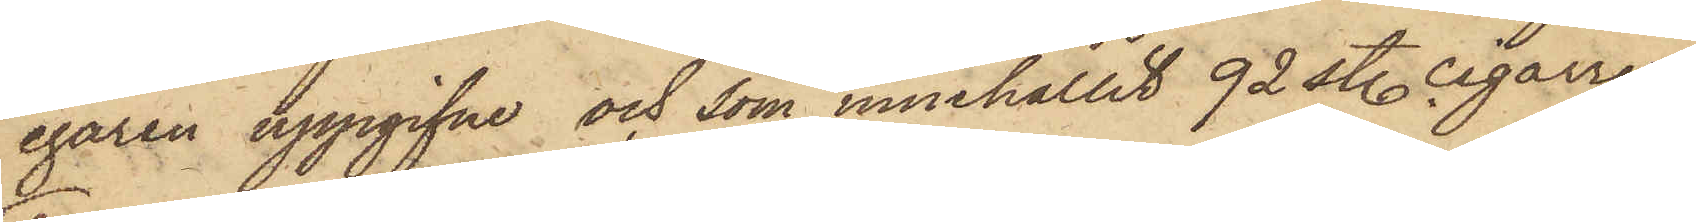egaren uppgifne och som innehållit 92 st. cigarrer;
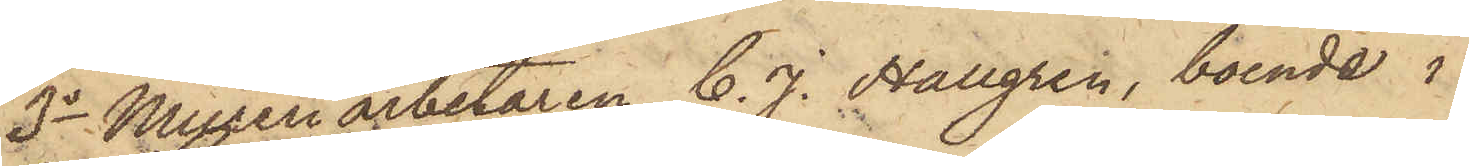3o Mureriarbetaren C. J. Hallgren, boende i
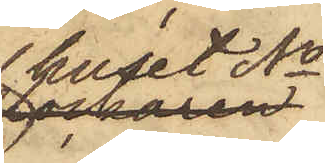huset No
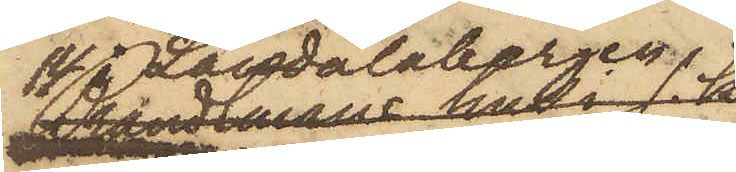14 i Landalabergen
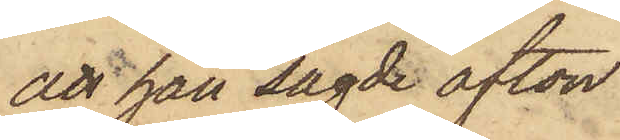att han sagde afton
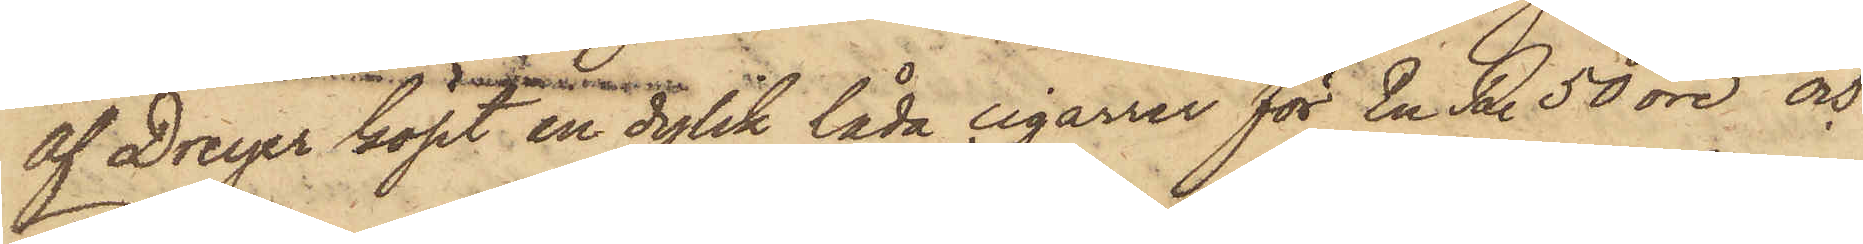af Dreyer köpt en dylik låda cigarrer för En R. 50 öre och
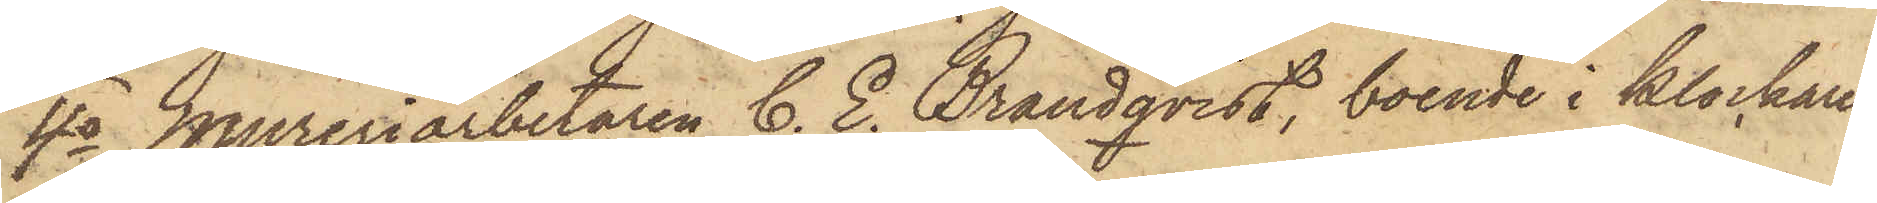4o Mureriarbetaren C. E. Brandqvist, boende i klockaren
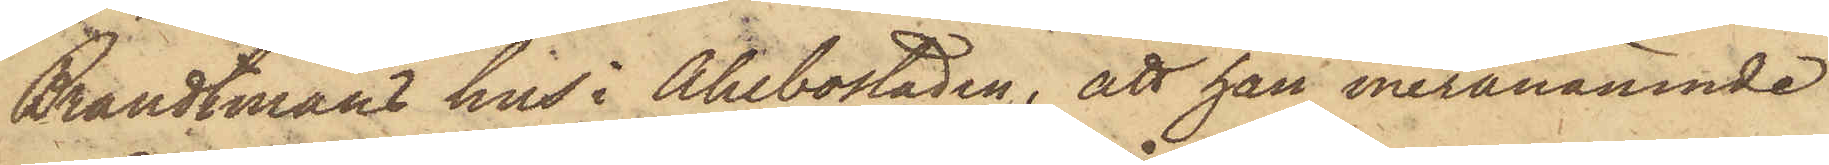Brandtmans hus i Ahlbostaden, att han meranämnde
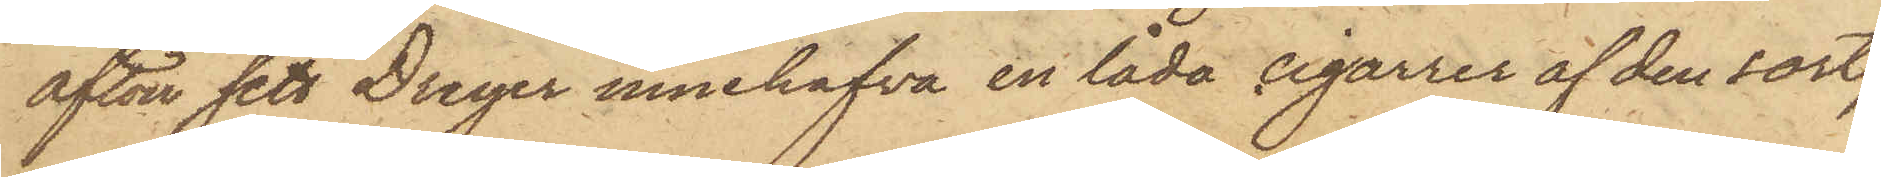afton sett Dreyer innehafva en låda cigarrer af den sort,
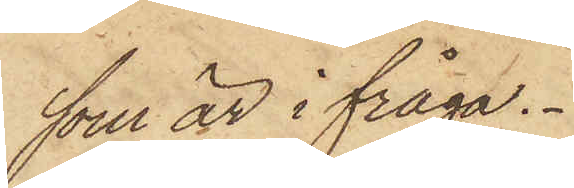som är i fråga.
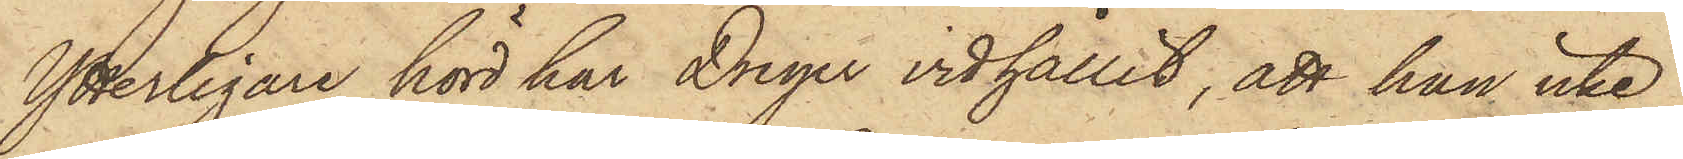Ytterligare hörd har Dreyer vidhållit, att han icke
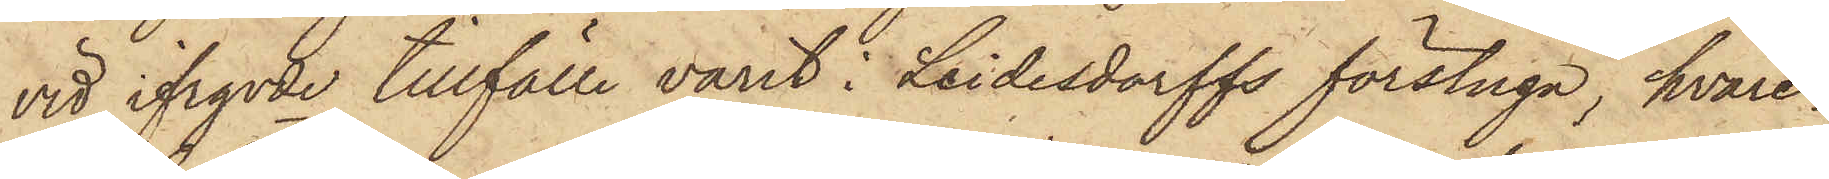vid ifrgvde tillfälle varit i Leidesdorffs förstuga, hvare¬
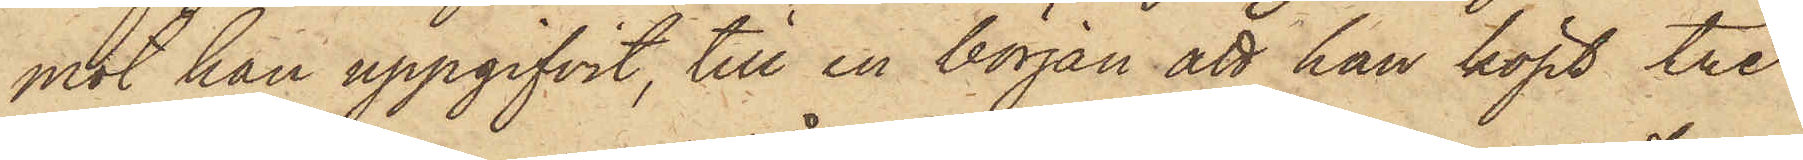mot han uppgifvit, till en början att han köpt tre
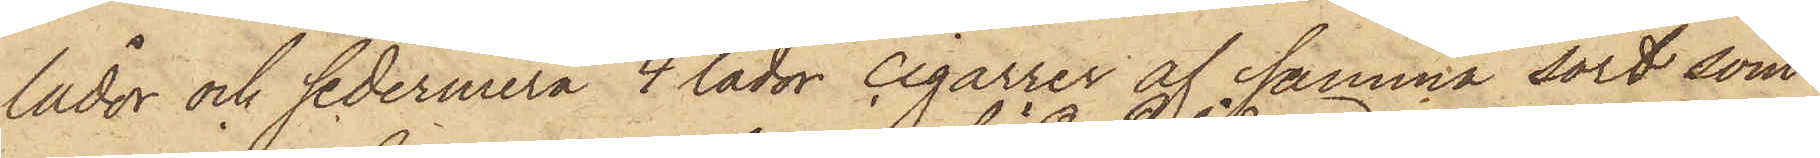lådor och sedermera 4 lådor cigarrer af samma sort som
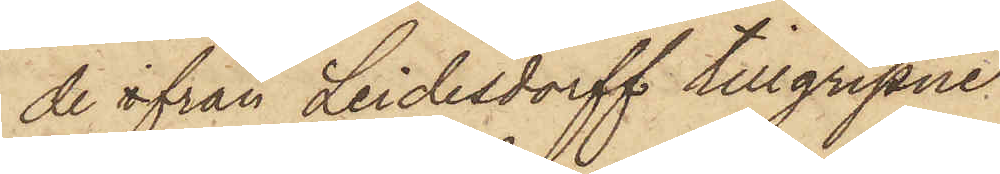de ifrån Leidesdorff tillgripne,
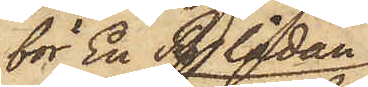för En R. lådan
